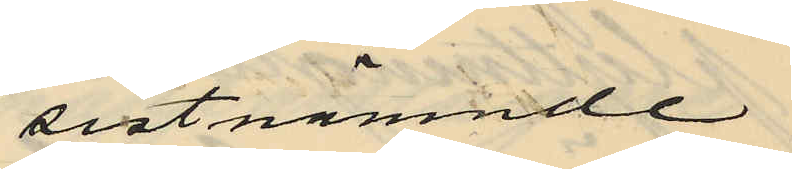sistnämnde
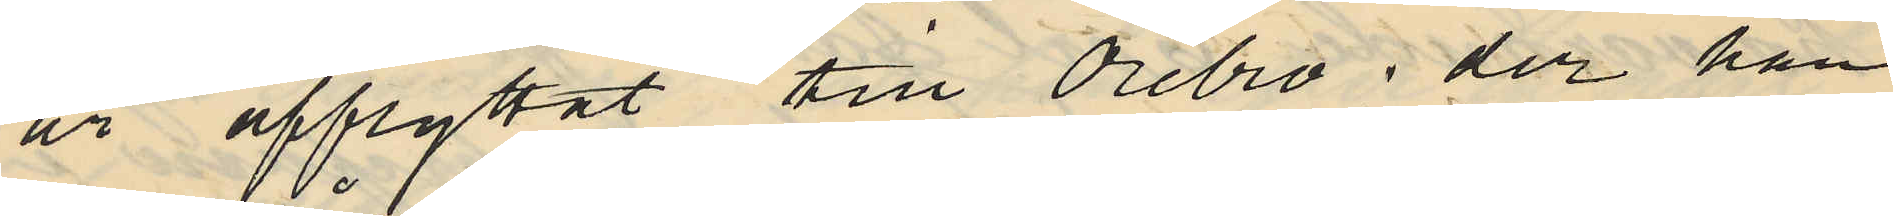år afflyttat till Örebro; der han
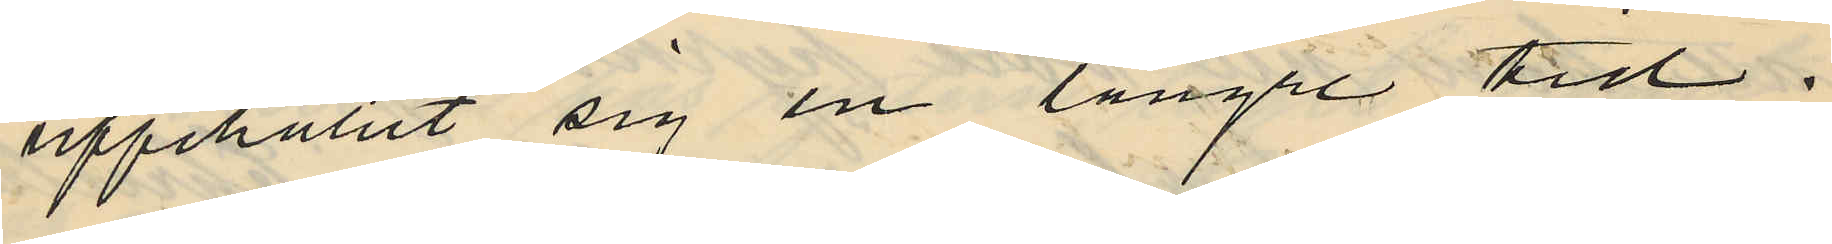uppehållit sig en längre tid;
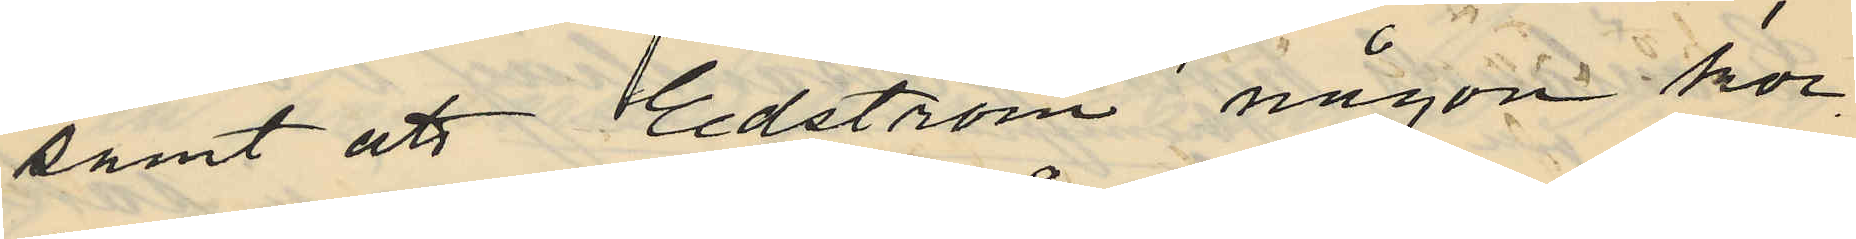samt att Edström någon kor
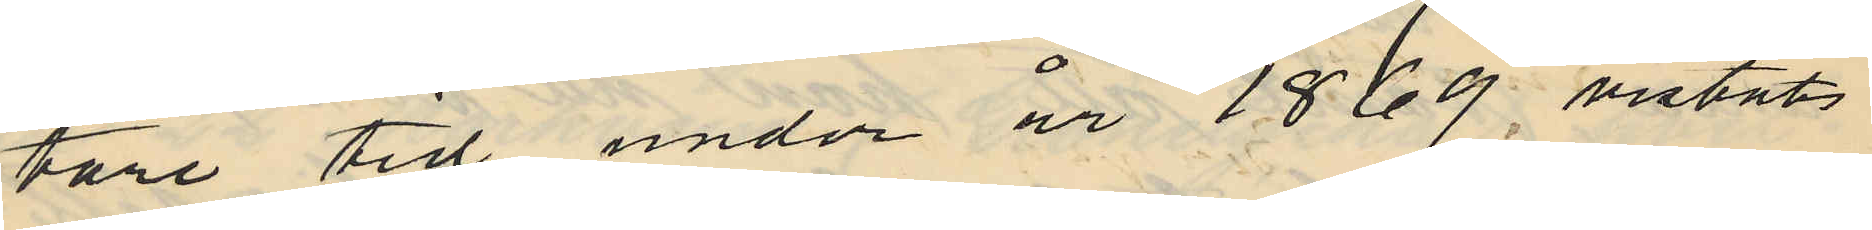tare tid under år 1869, vistats
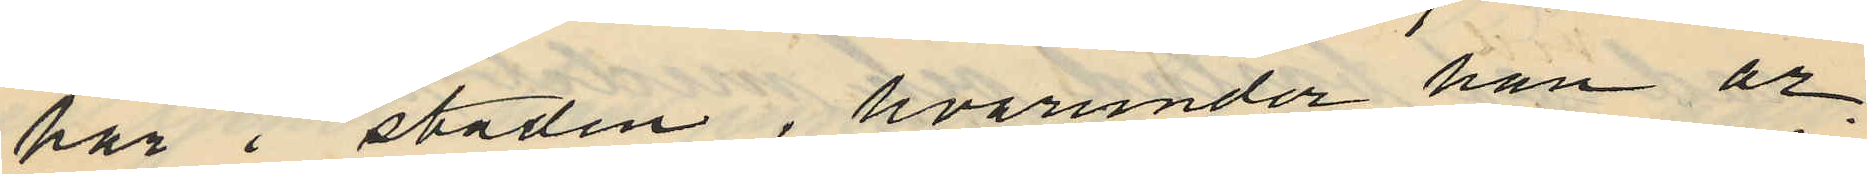här i staden, hvarunder han ar
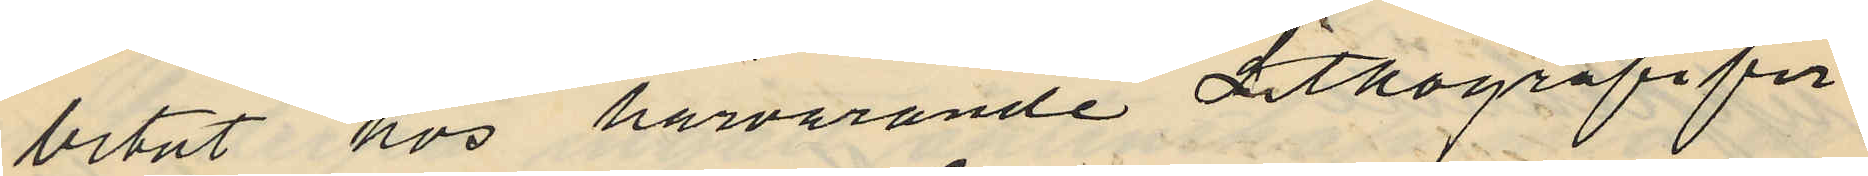betat hos härvarande Lithografifir
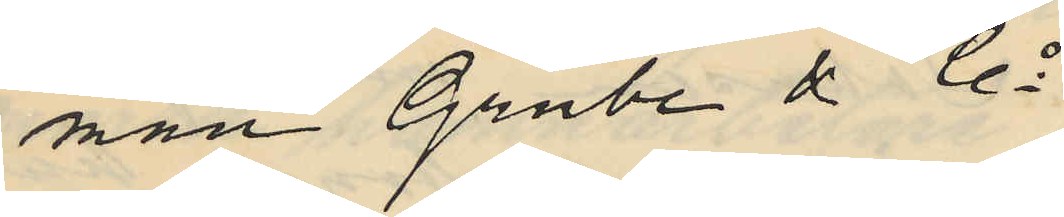man Grube & Co
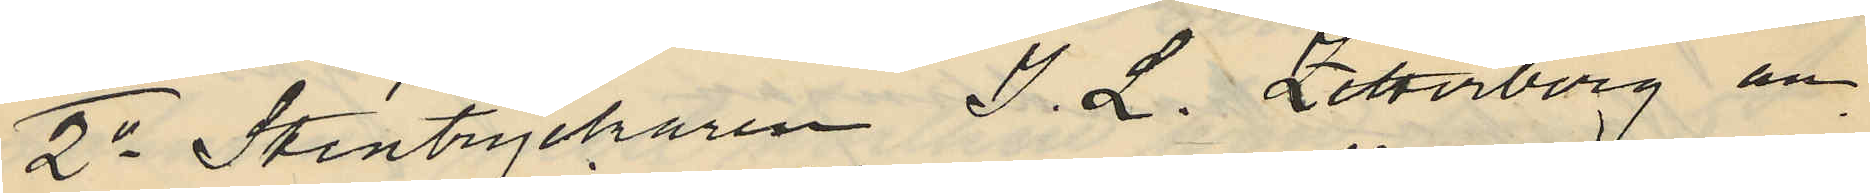2o Stentryckaren I. L. Zetterberg an
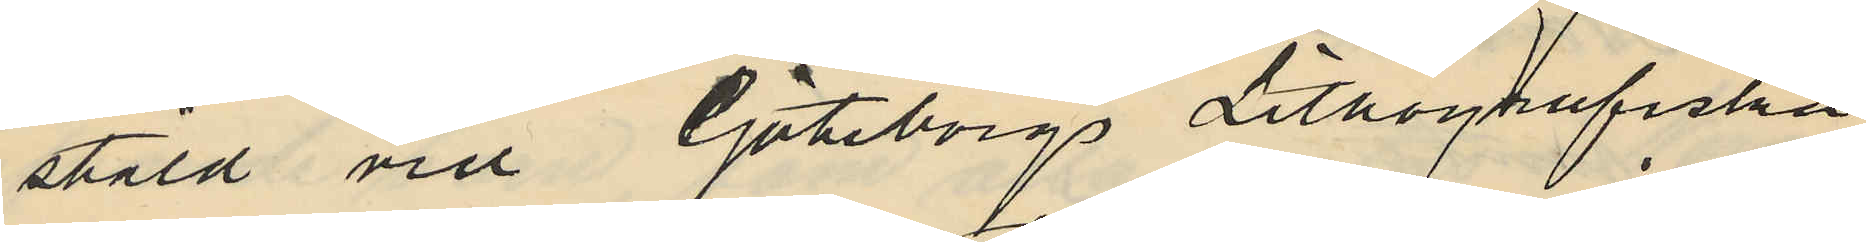stäld vid Göteborgs Lithografiska
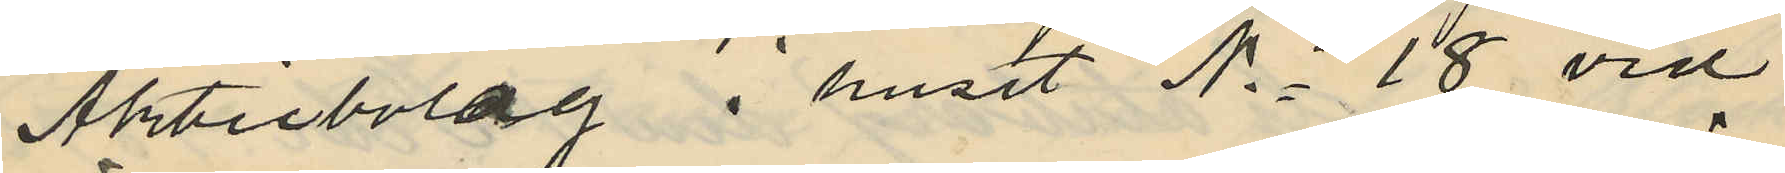Aktiebolag i huset No 18 vid
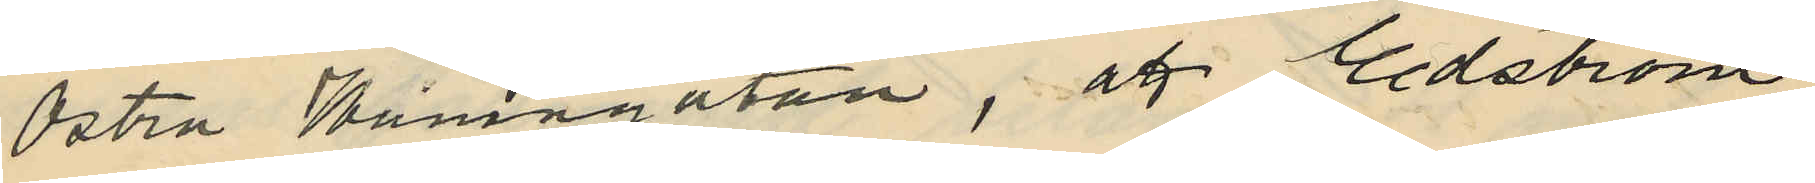Östra Hamngatan, att Edström
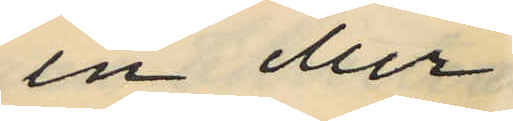en eller
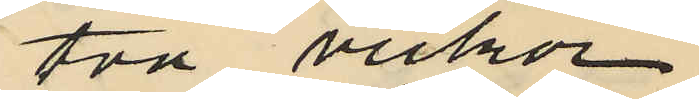två veckor
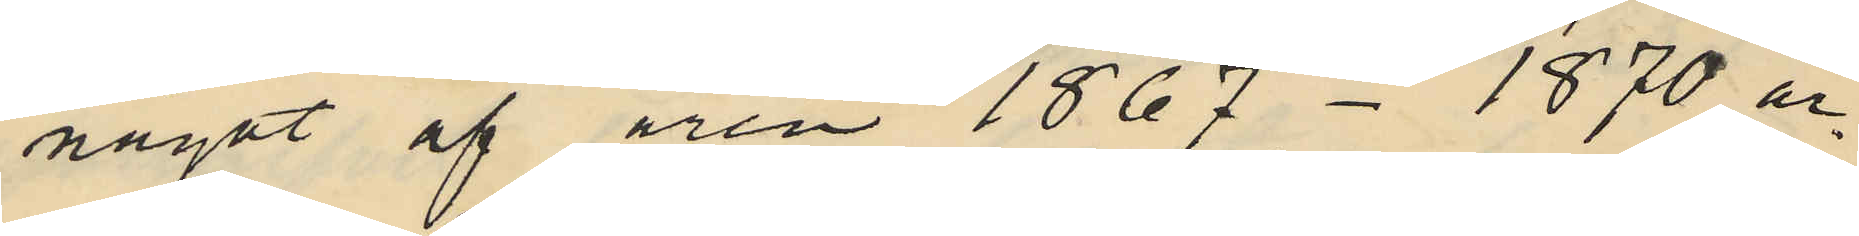något af åren 1867-1870 ar¬
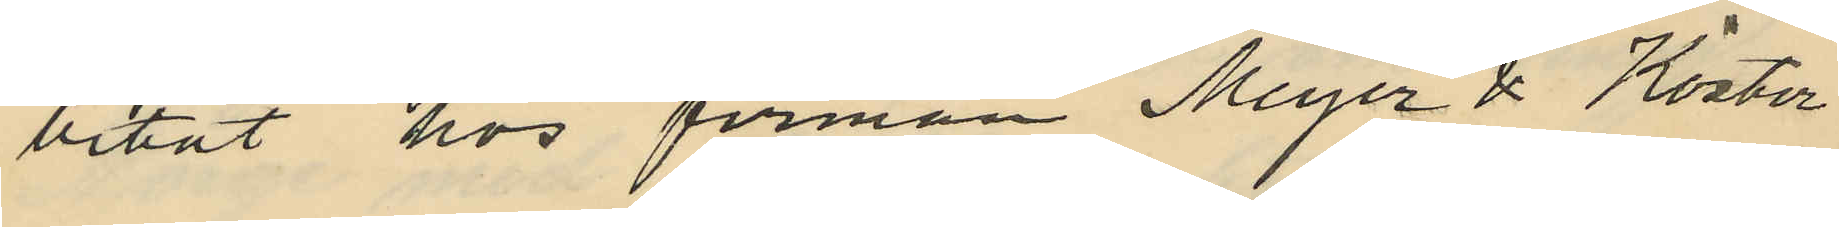betat hos firman Meyer & Köster
